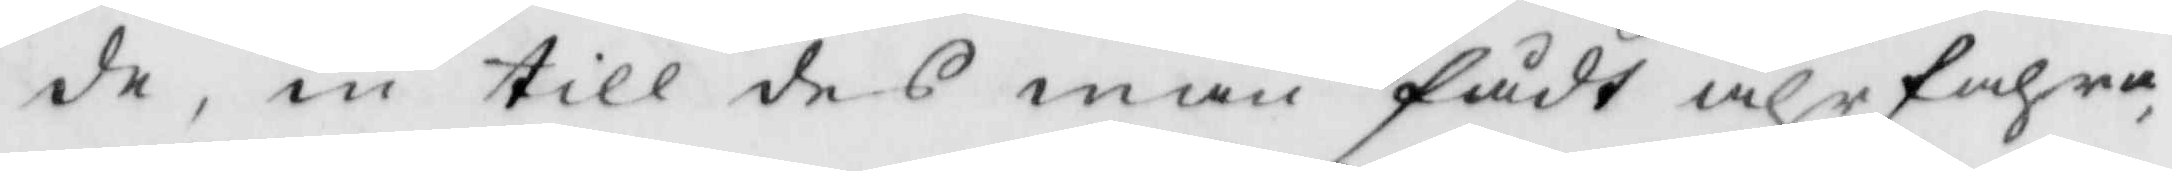de, in till des man fådt ährfahra
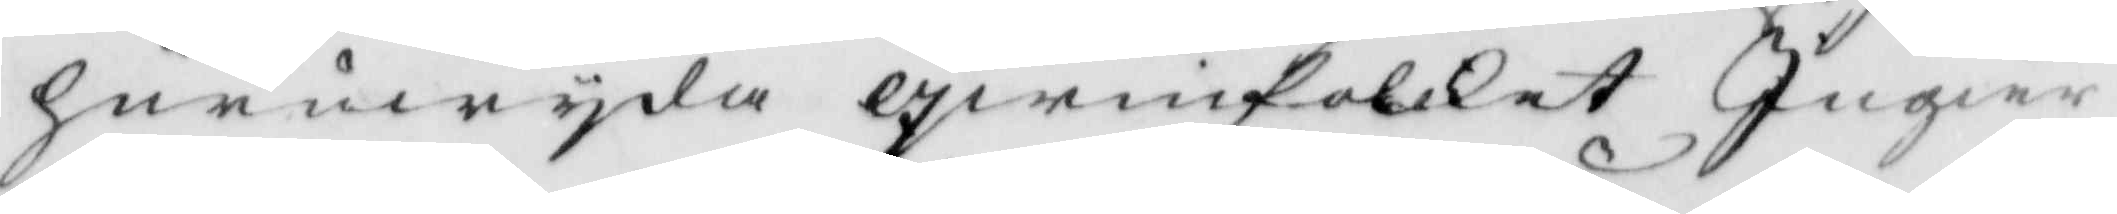huruwyda qwinfolket Ingier
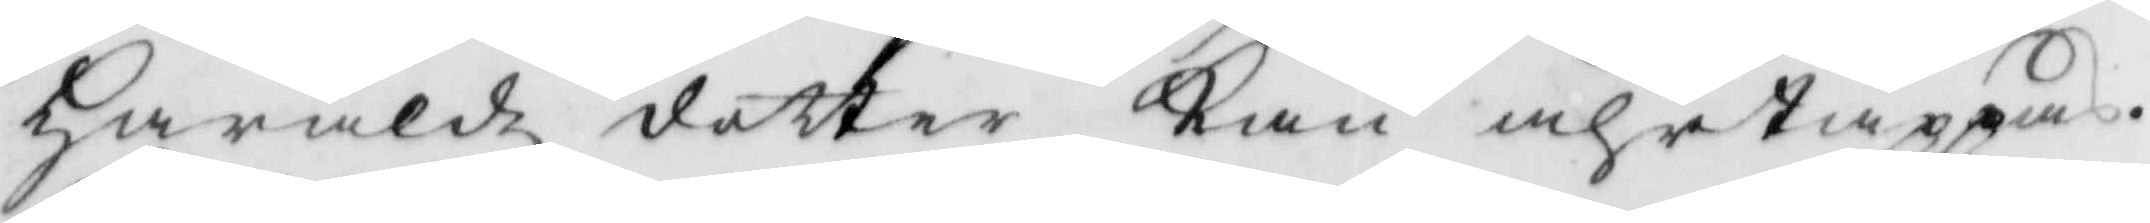Haraldz dotter Kan ährtappas.
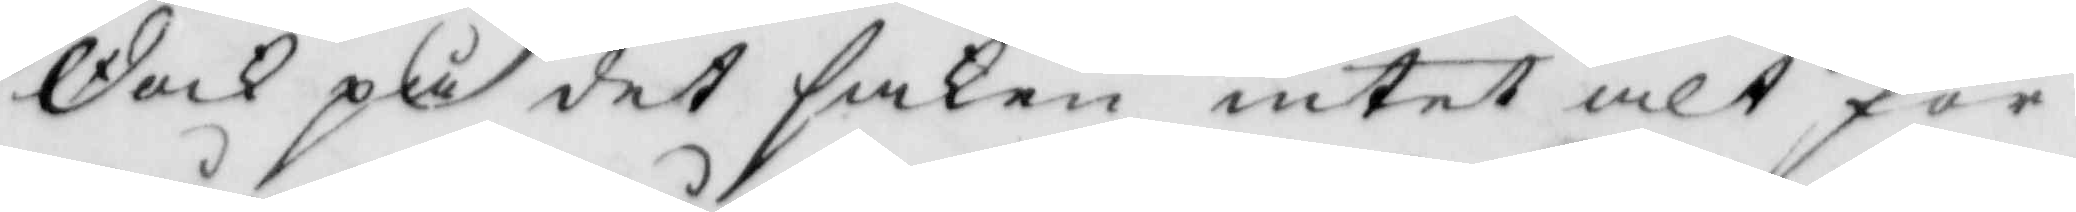dock på det saken intet alt för
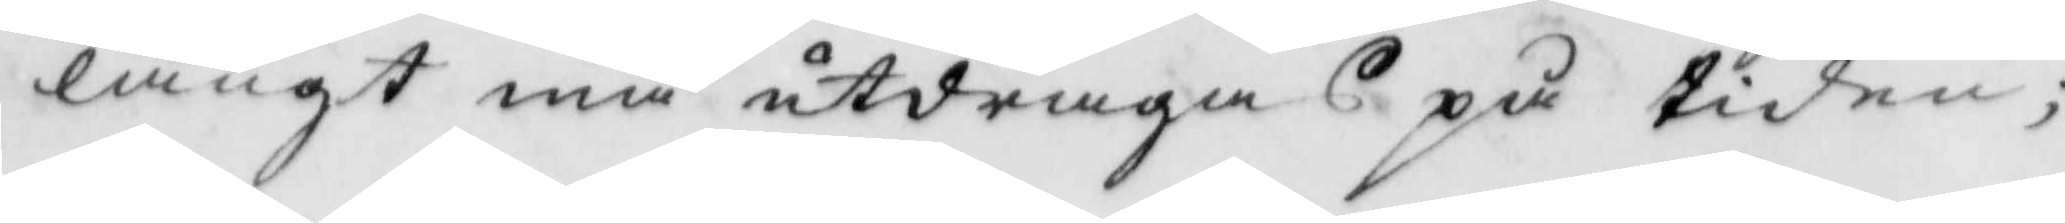långt må utdragas på tiden;
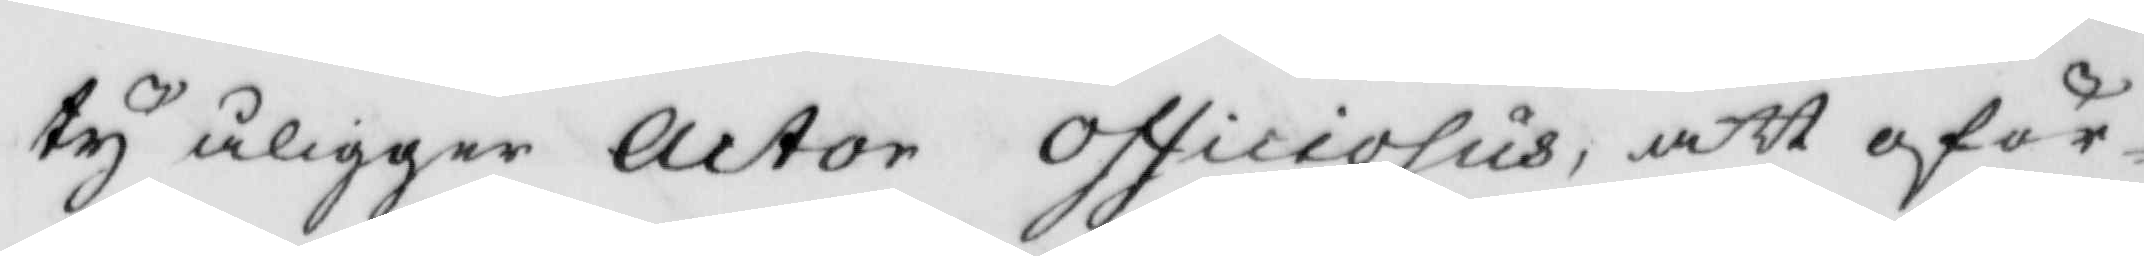ty åligger actor officiosus, att oför¬
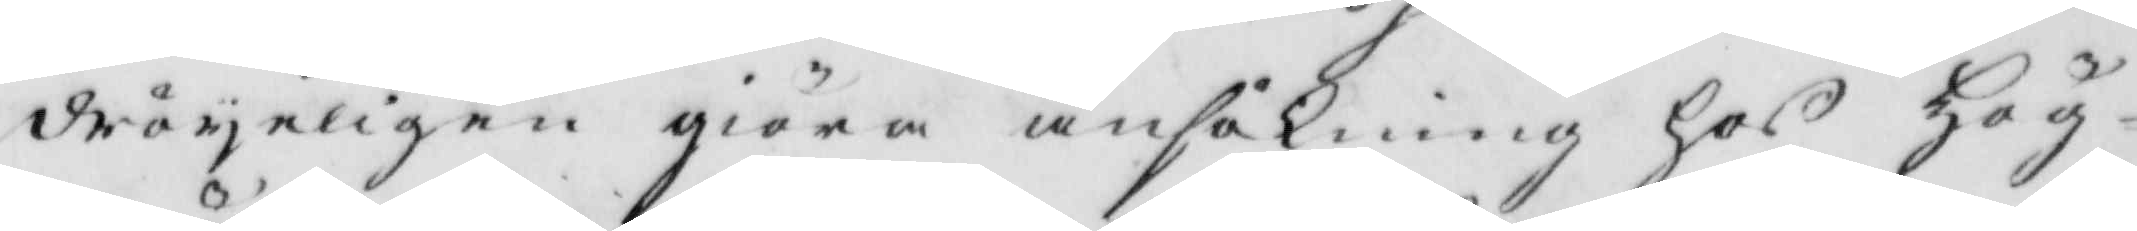dröyeligen giöra ansökning hos Hög¬
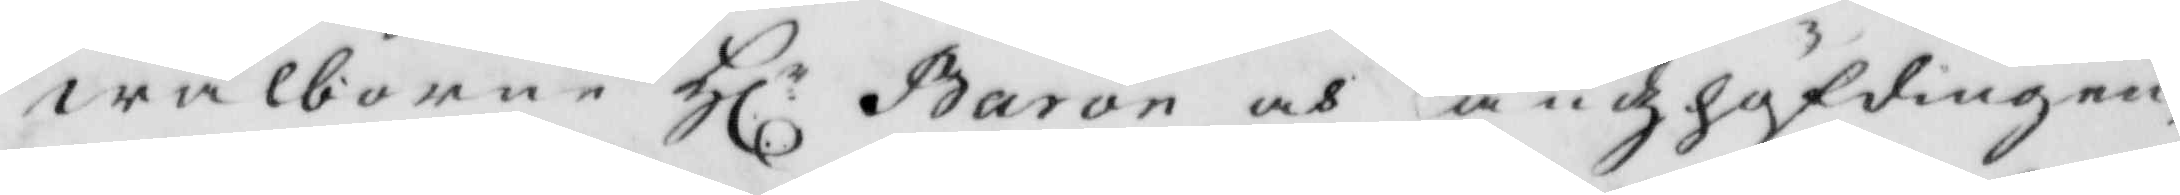wälborne Hl: Baron och Landzhöfdingen,
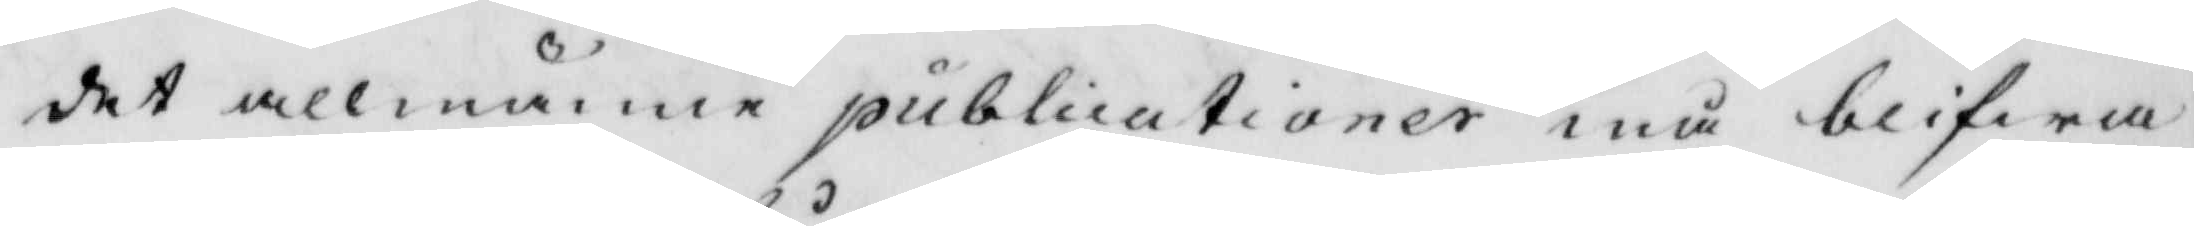det allmänne publicationer må blifwa
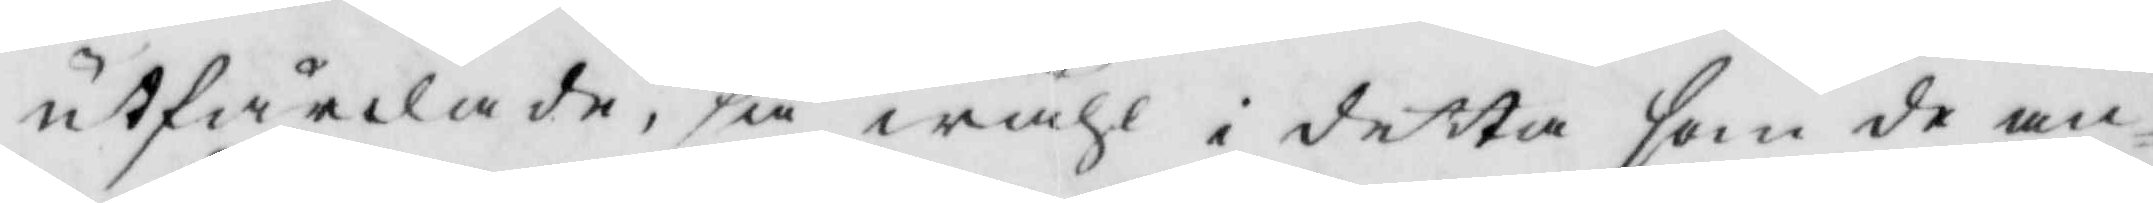utfärdade, så wähl i detta som de an¬
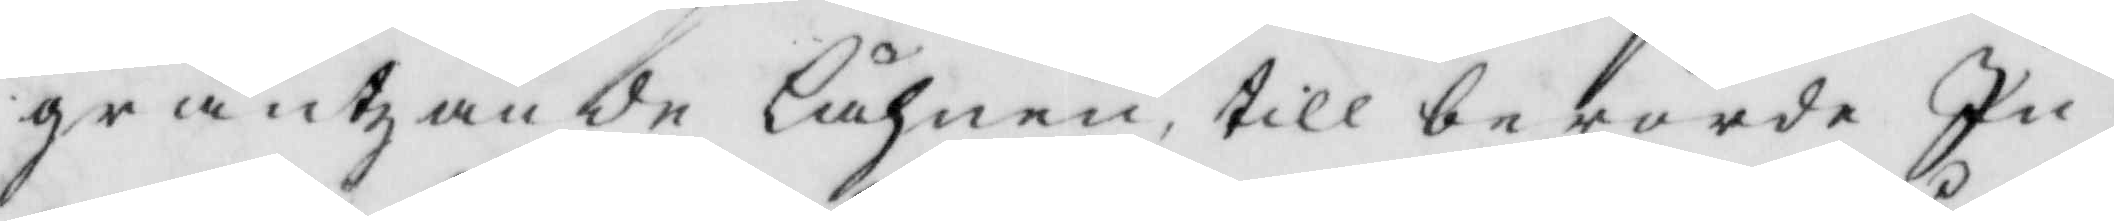gräntzande Lähnen, till berörde Ig¬
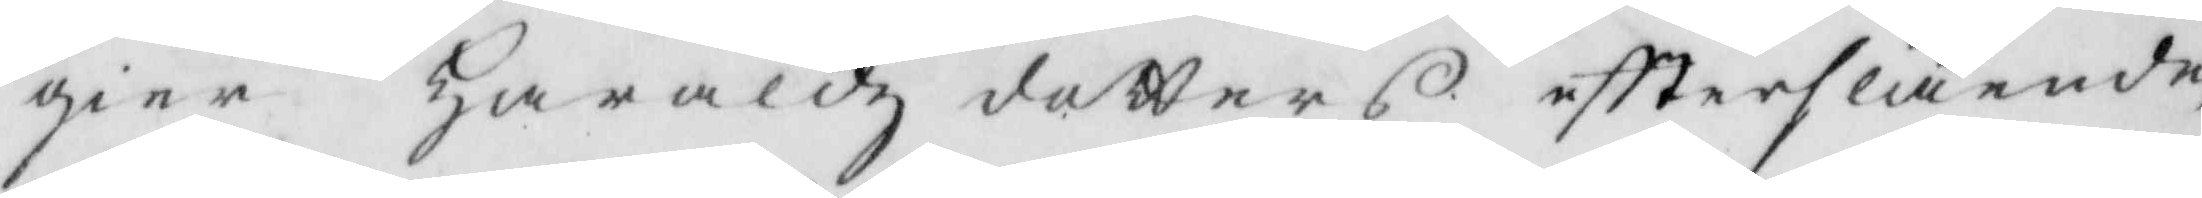gier Haraldz dotters eftterslående
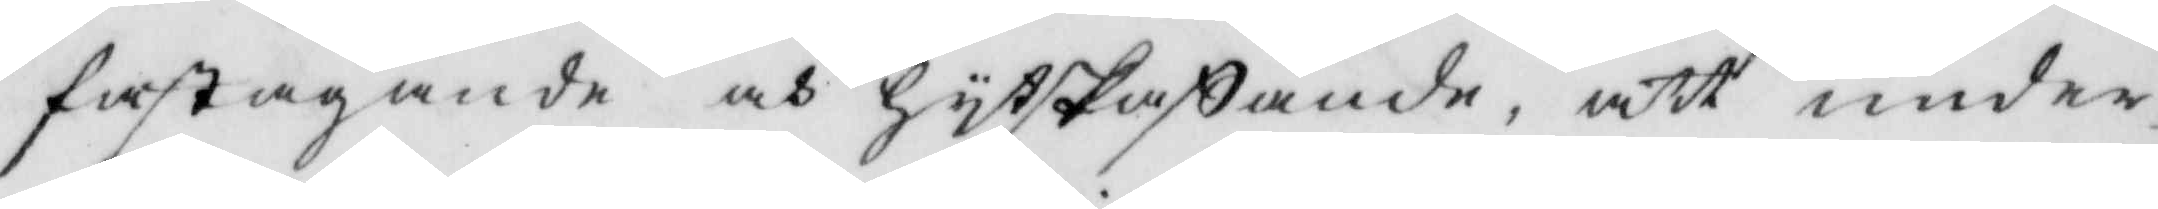fastagande och hytskaffande, att under¬
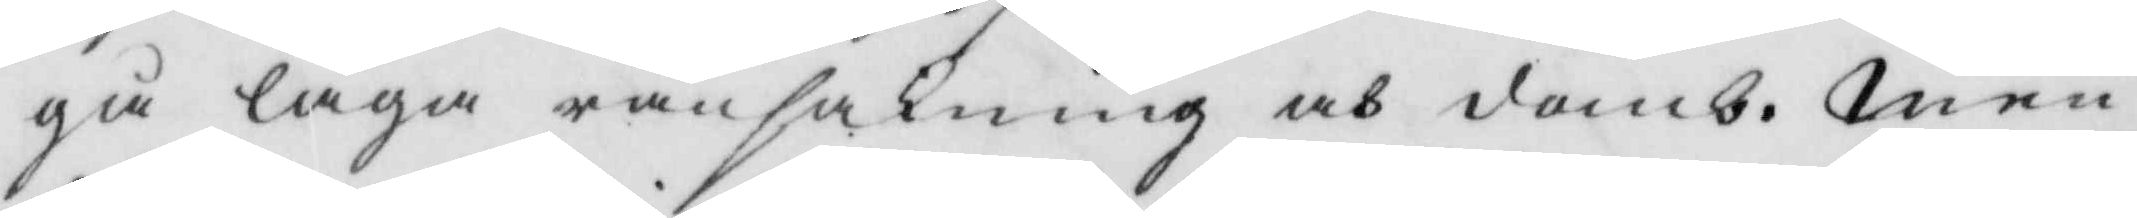gå laga ransakning och domb. Men
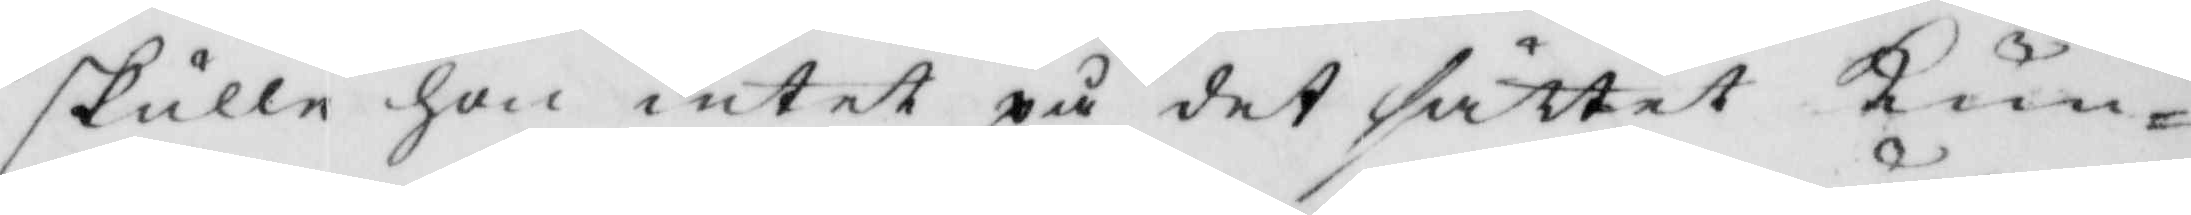skulle hon intet på det sättet Kun¬
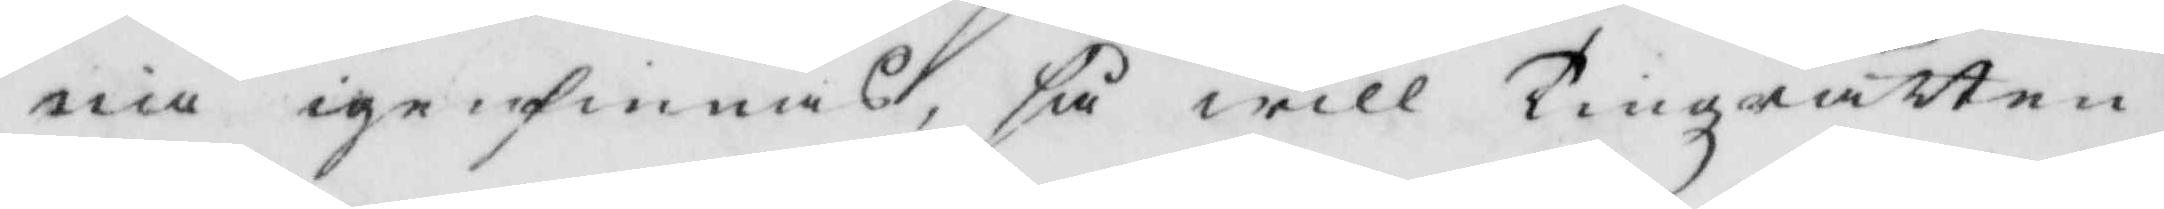na igenfinnas, så will Tingzrätten
